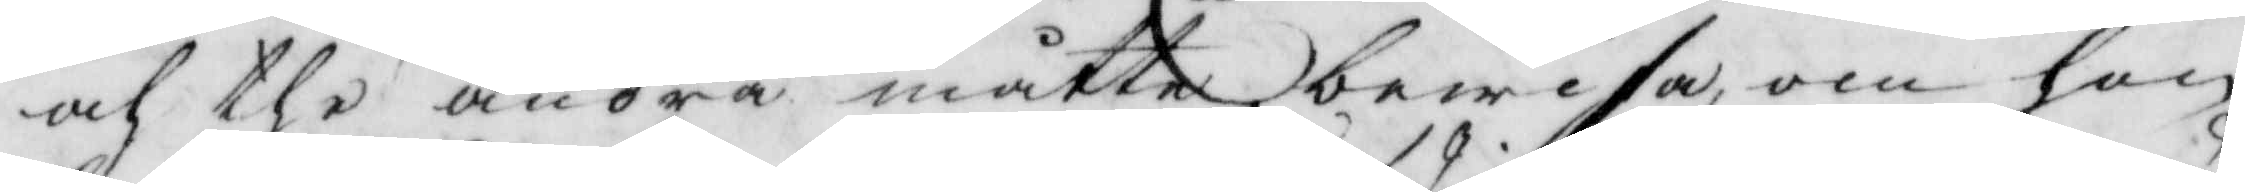och the andra måtte bewisa, om hon
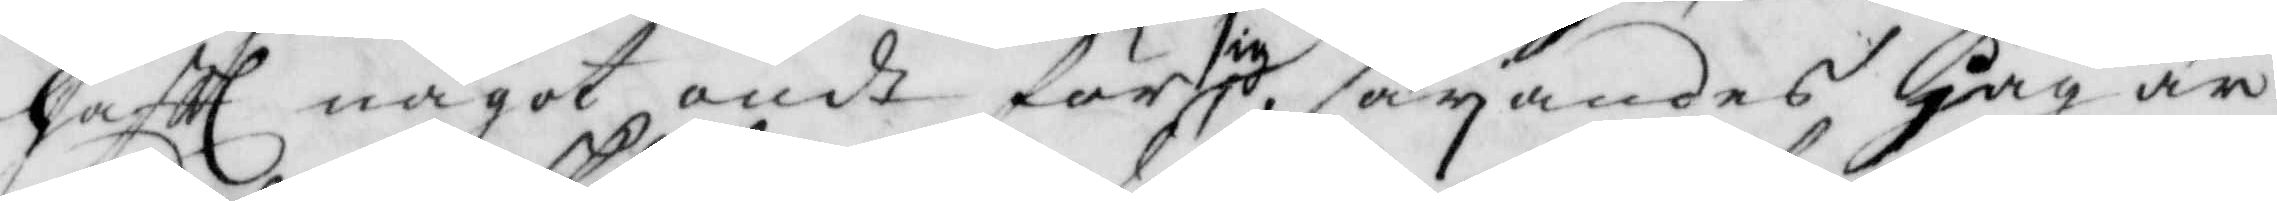haftt något ondt för sig, säyandes Jag är
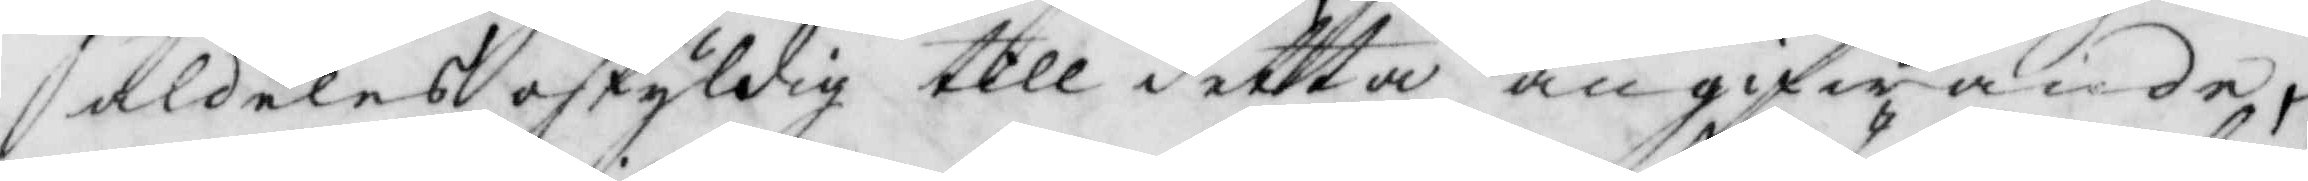aldeles oskyldig till detta angifwande,
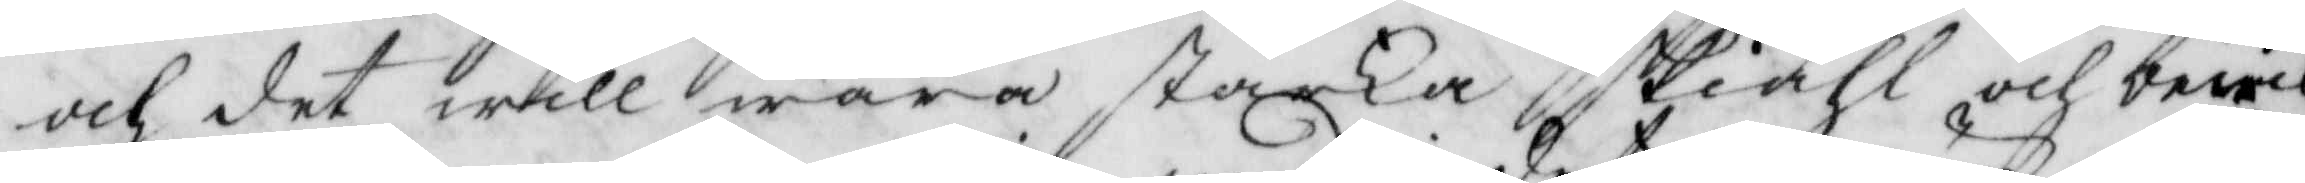och det will wara starka skiähl och bewis
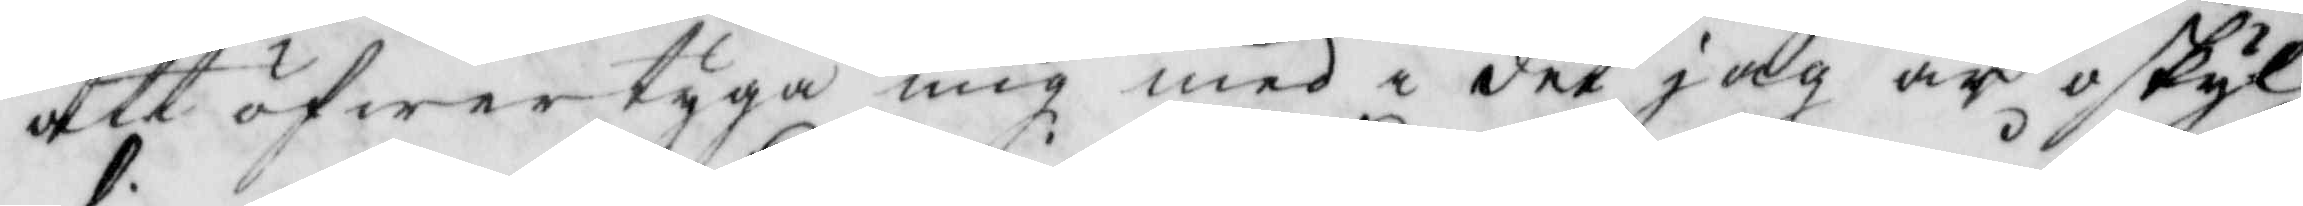att öfwertyga mig med i det jag är oskyl¬
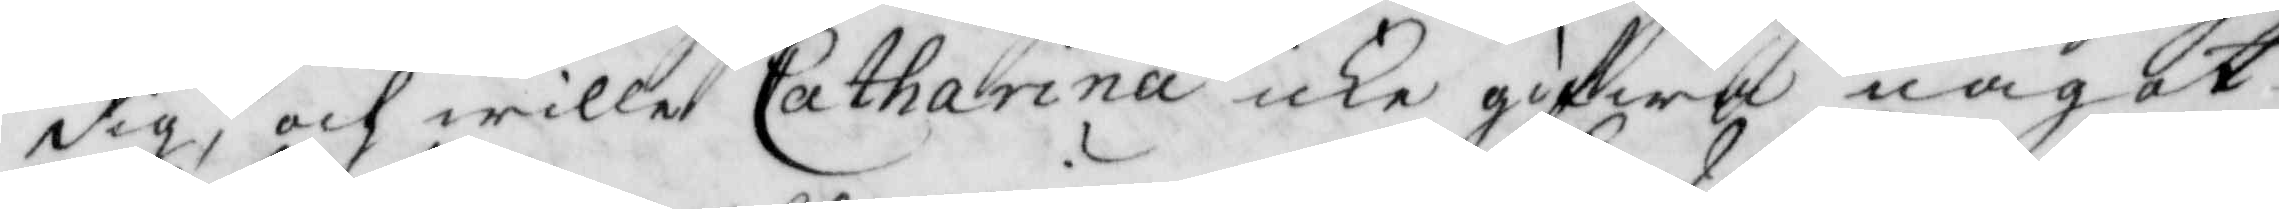dig, och wille Catharina icke gifwa något
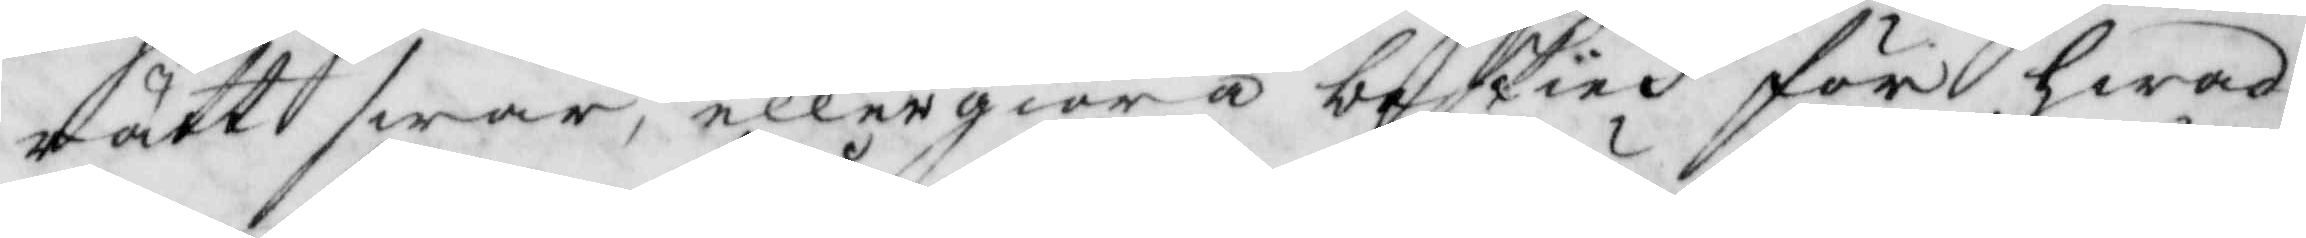rätt swar, eller giöra beskied för hwad
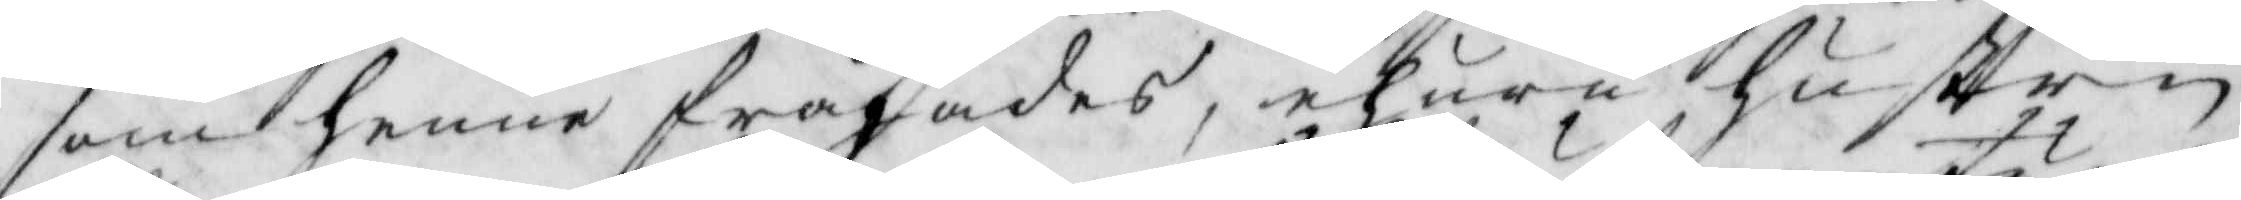som henne frågades, ehuru Hustrun
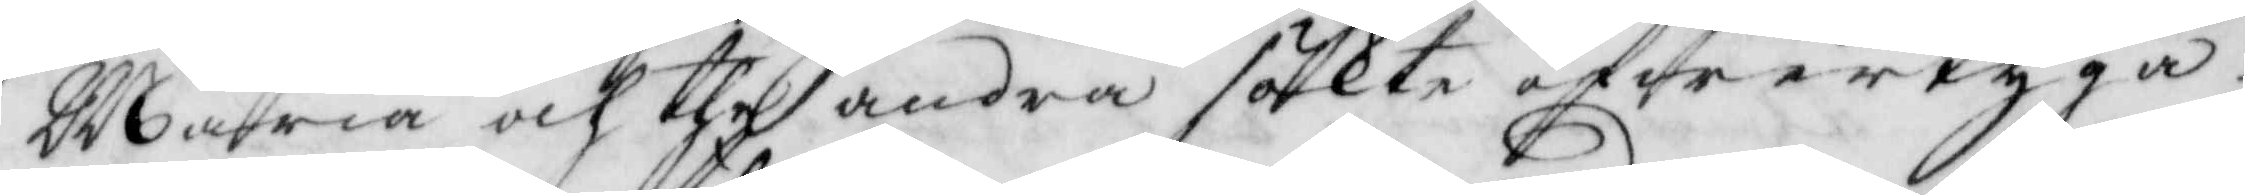Maria och the andra sökte öfwertyga
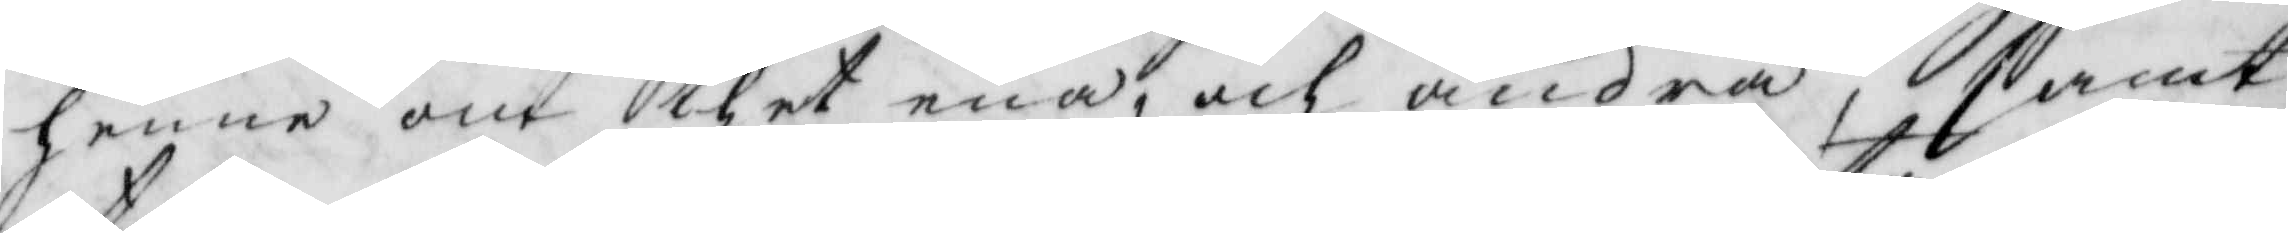henne om thet ena, och andra, samt
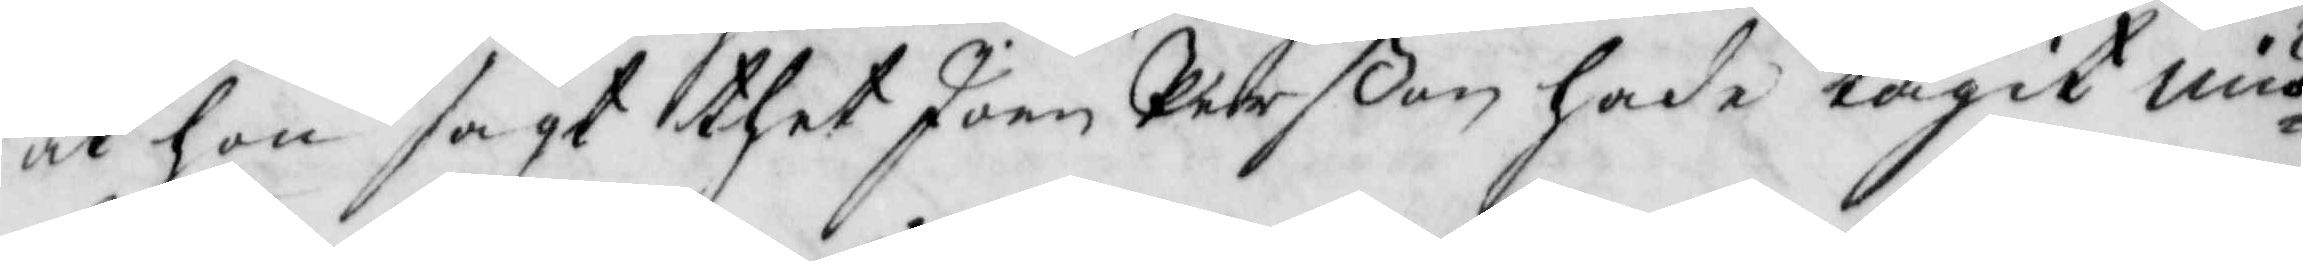at hon sagt thet Joen Pehrßon hade tagit miö¬
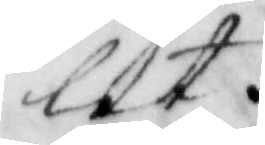let.
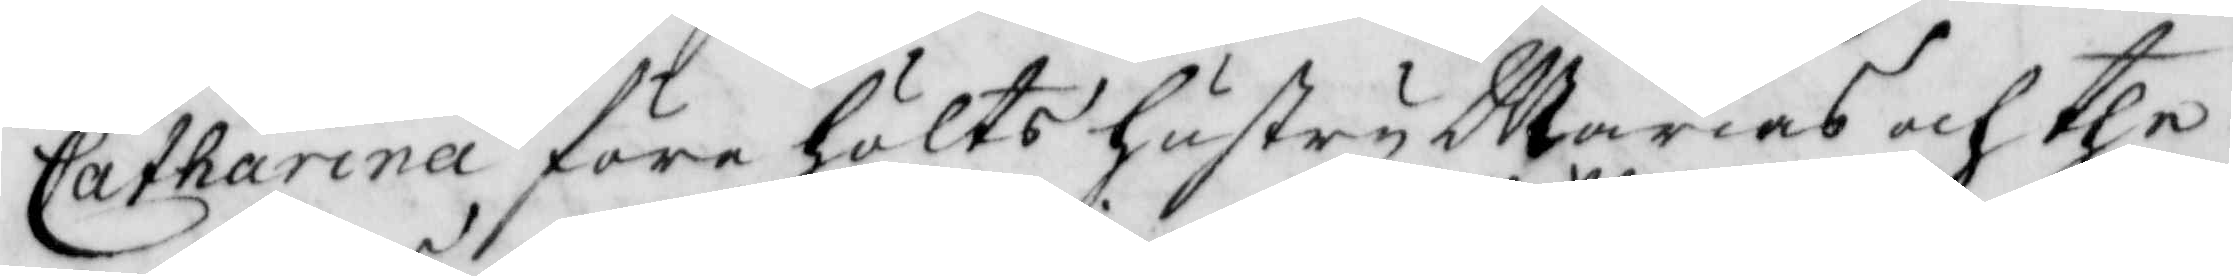Catharina före hölts hustru Marias och the
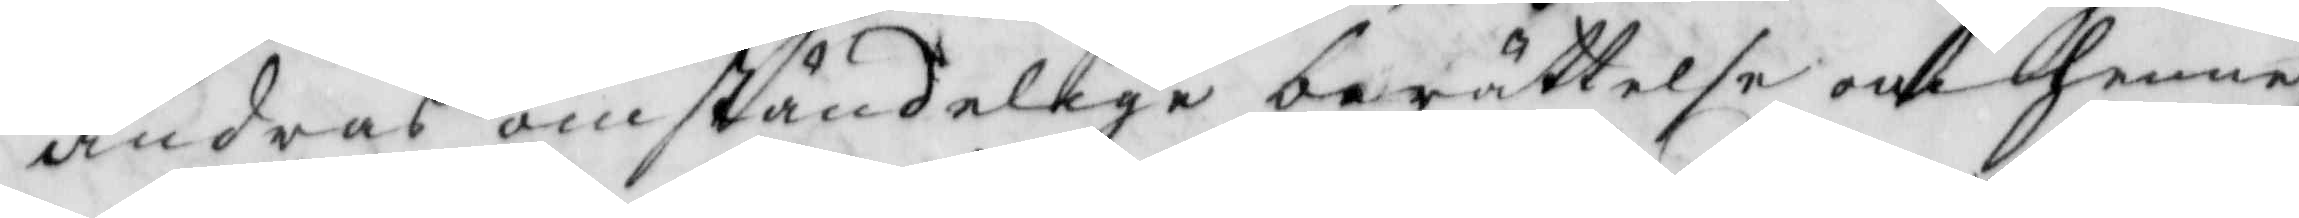andras omständelige berättelse om henne
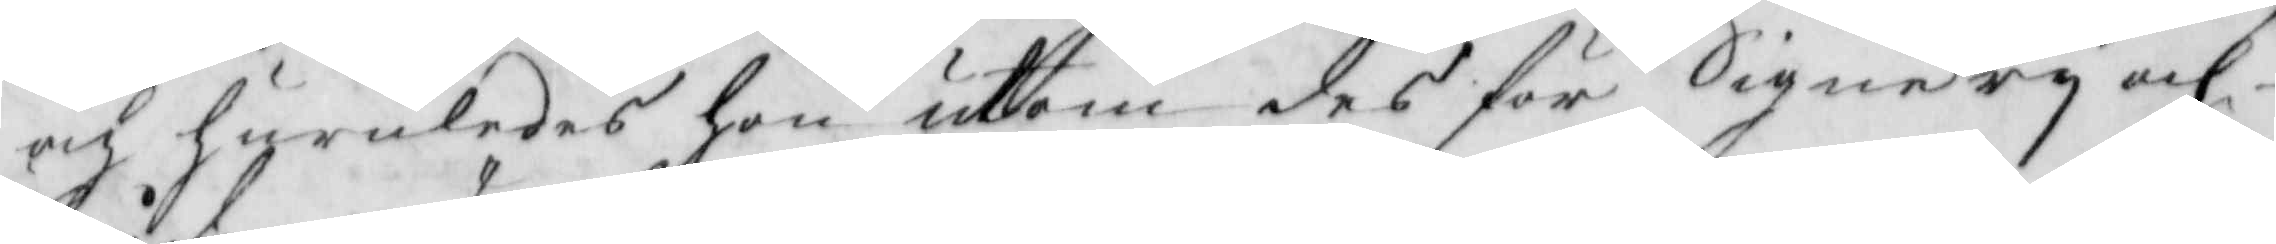och huruledes hon utom des för Signery och
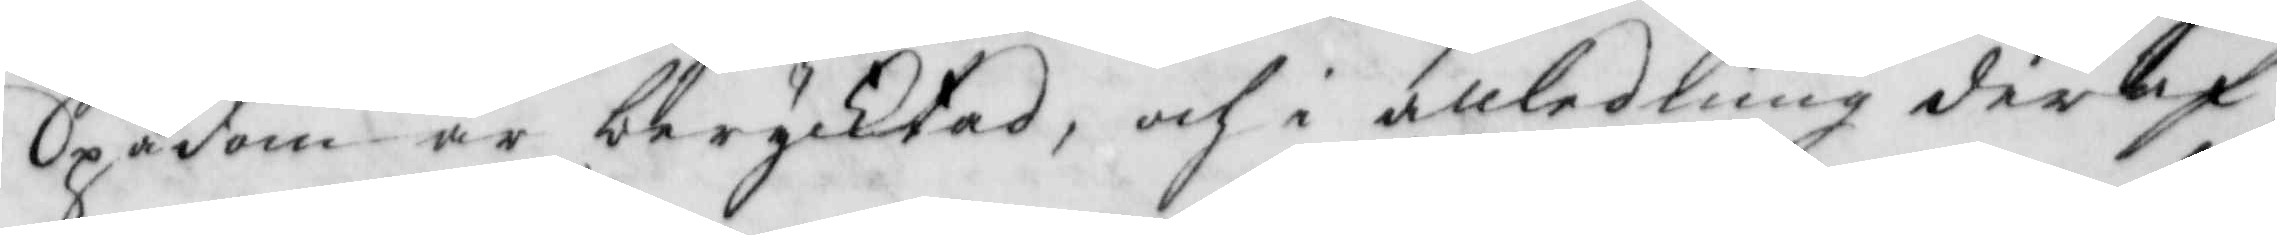Spådom är berycktad, och i anledling deraf
